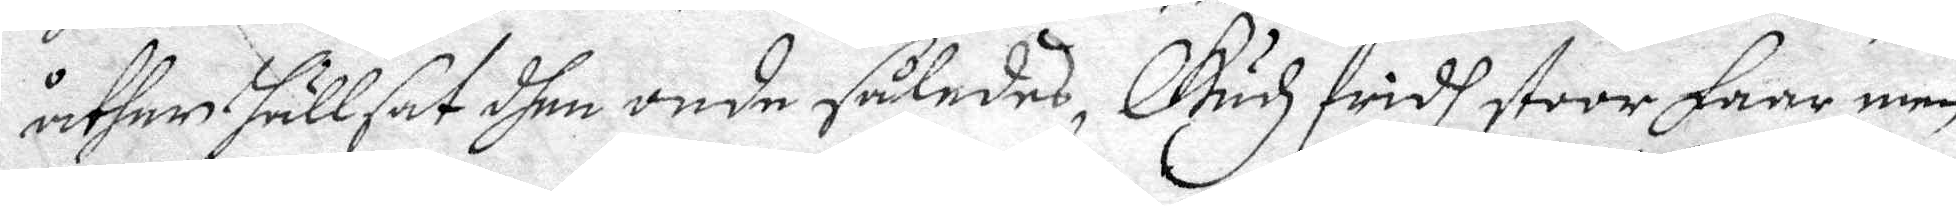åther hällsat dhen onde således, Gudz fridh stoor Faar, men
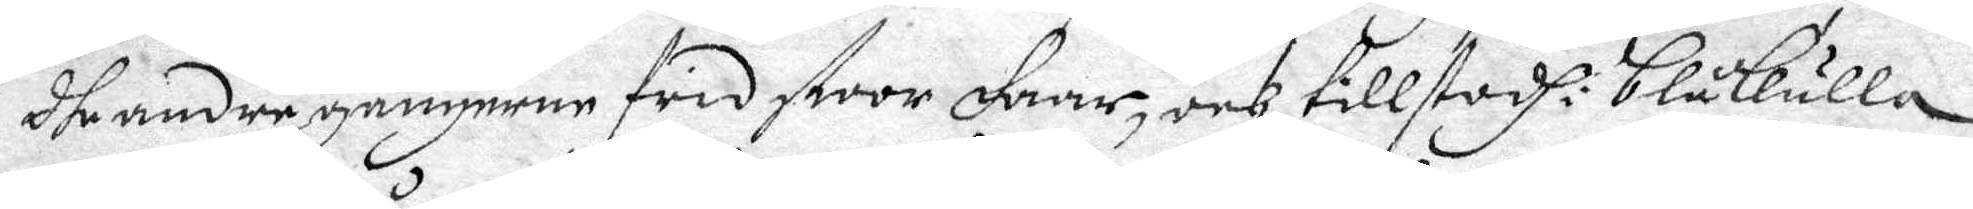dhe andre gångerne frid stoor Faar, och tillstodh i Blåkulla
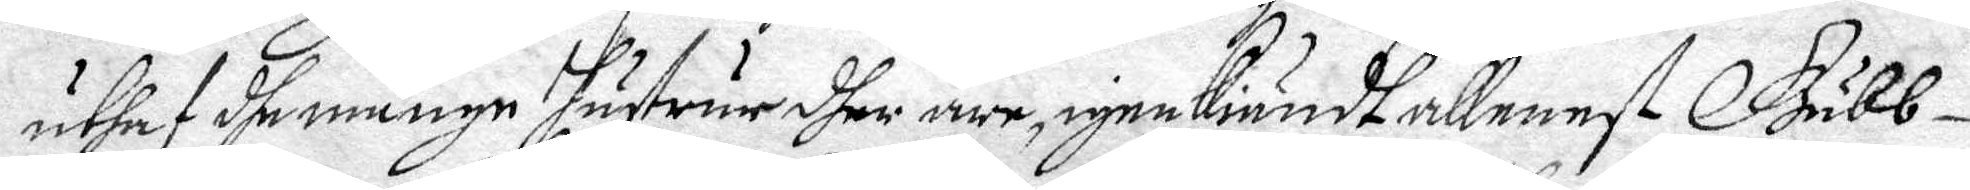uthaf dhe månge hustrur dher äre, igenkiändt allenast Gubb¬
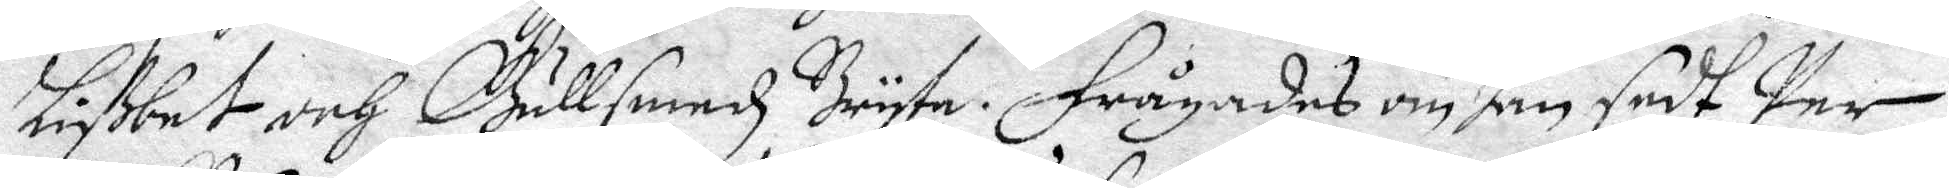Lißbet och Gullsmedz Bryta. Frågades om han sedt Per
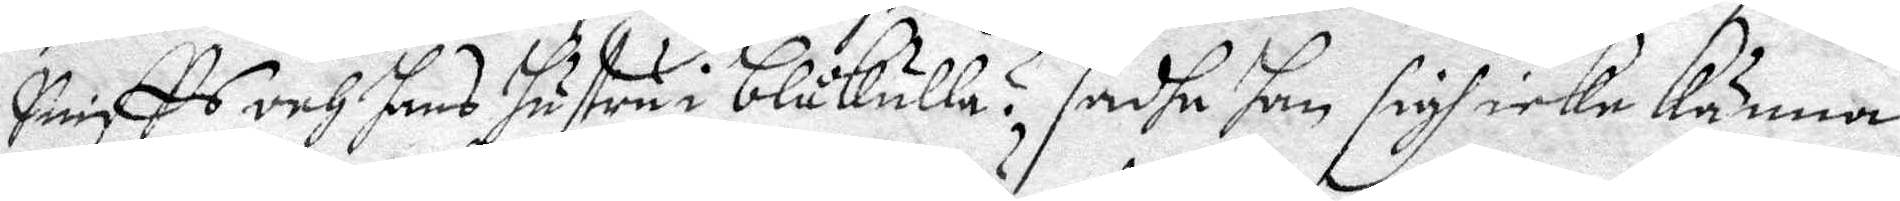Sniffs och hans hustru i Blåkulla? sadhe han sigh icke känna
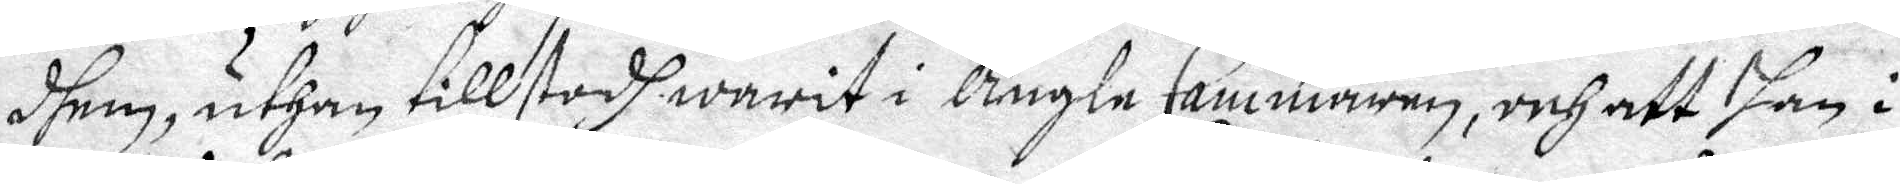dhem, uthan tillstodh warit i Ängle Cammaren, och att han i
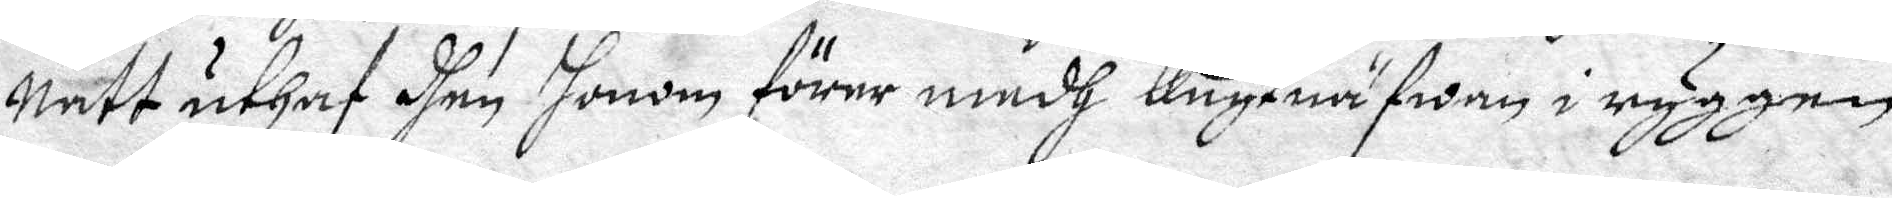natt uthaf dhen honom förer medh Knytnäfwen i ryggen
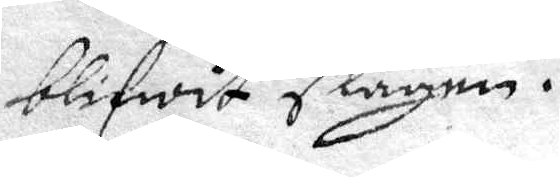blifwit slagen.
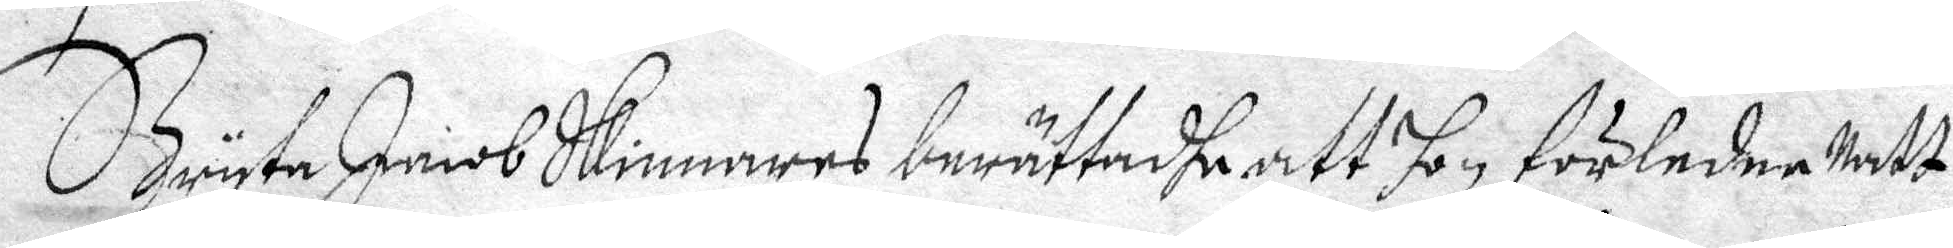Bryta Jacob Skinnares berättadhe att hon förledne Natt
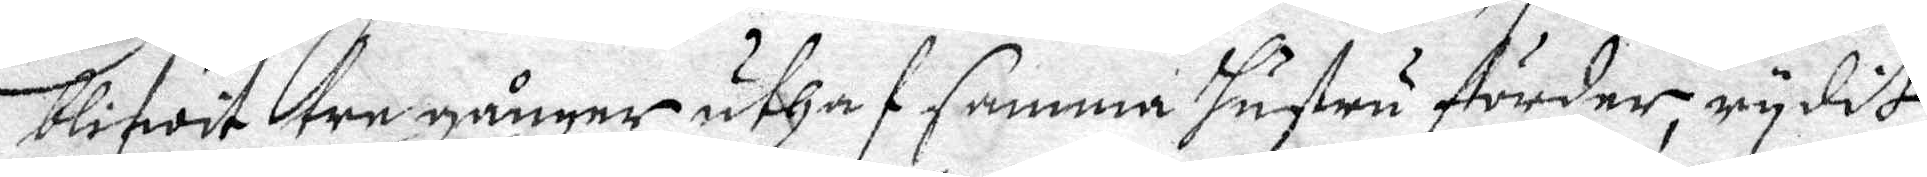blifwit tre gånger uthaf samma hustru förder, rydit
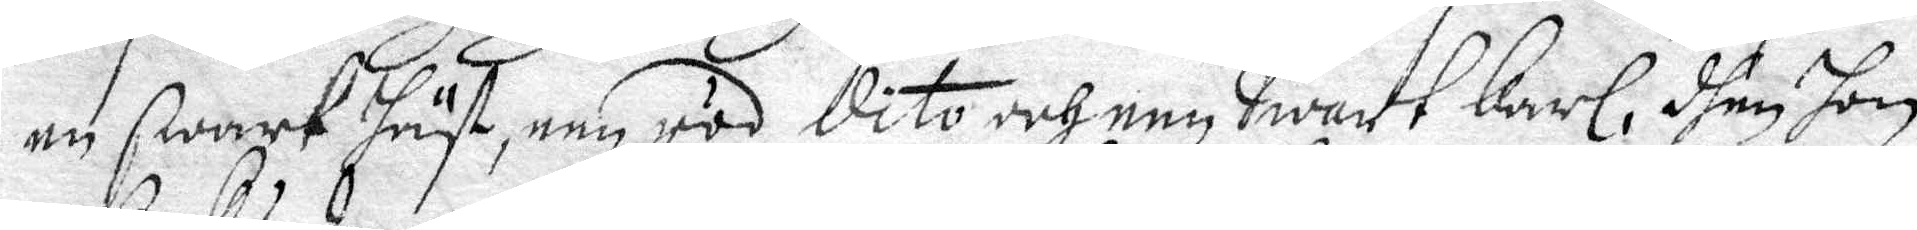en swart Häst, een röd dito och een Swart Karl, dhen hon
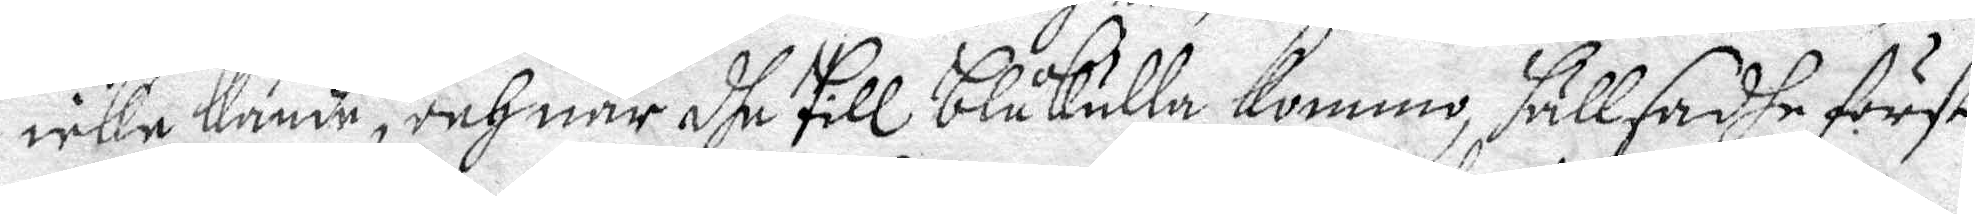icke kände, och när dhe till Blåkulla kommo, säll sadhe först
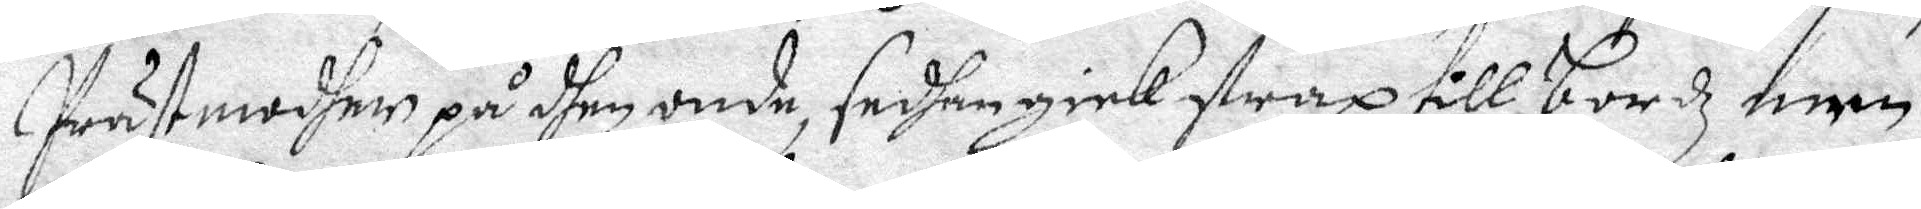Präst modher på dhen onde, sedhan gick strax till bordz men
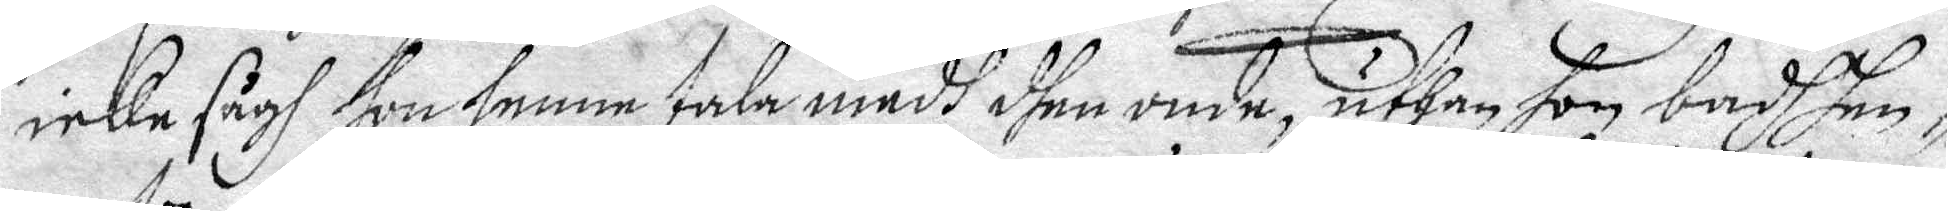icke sågh hom henne tala medh dhen onde, uthan hon badh hen¬
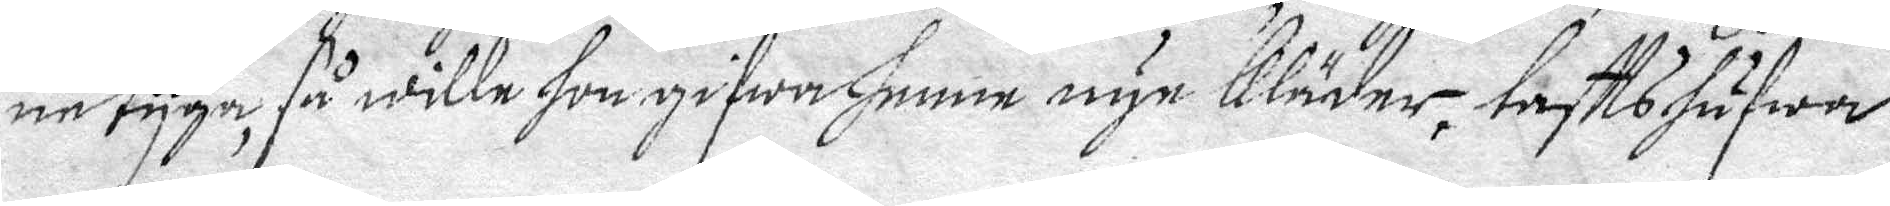ne tyga, så wille hon gifwa henne nye kläder, tafttshufwar
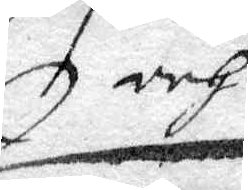och
